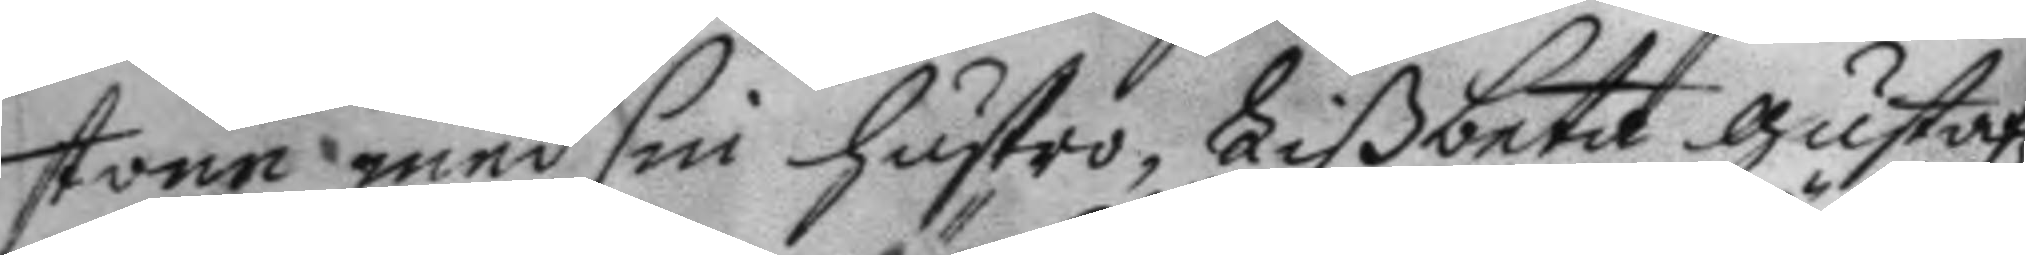stone med sin hustro, Lißbeta gustafz¬
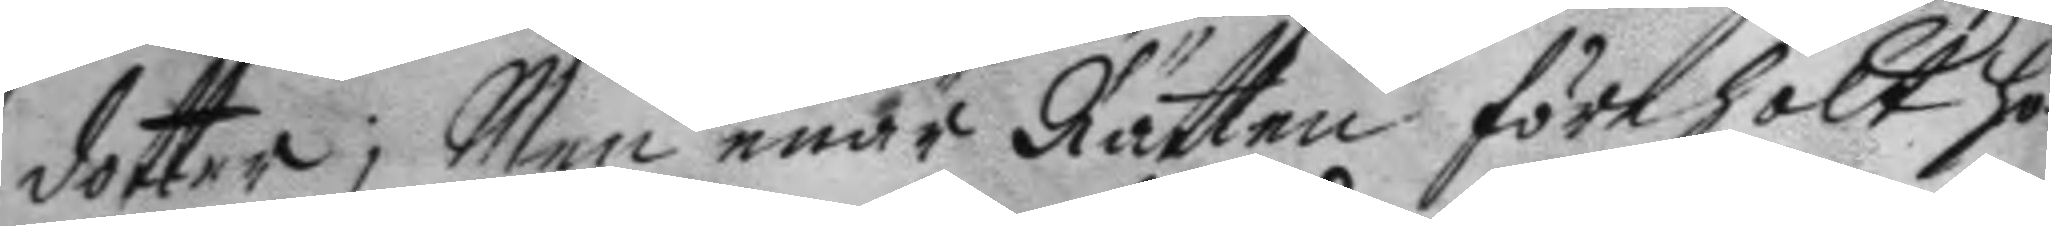dotter; Men enär Rätten förehölt ho¬
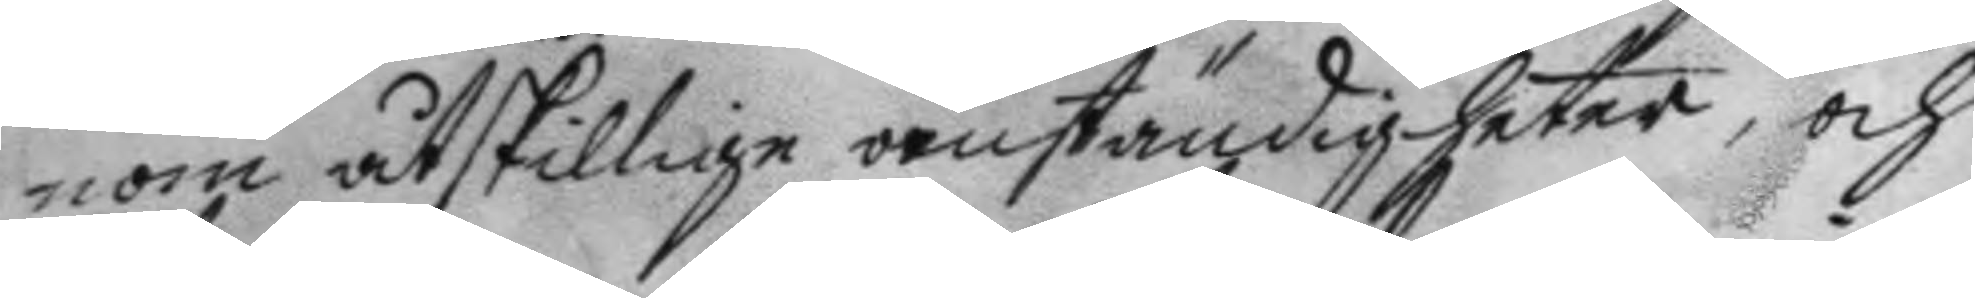nom åtskillige omständigheter, och
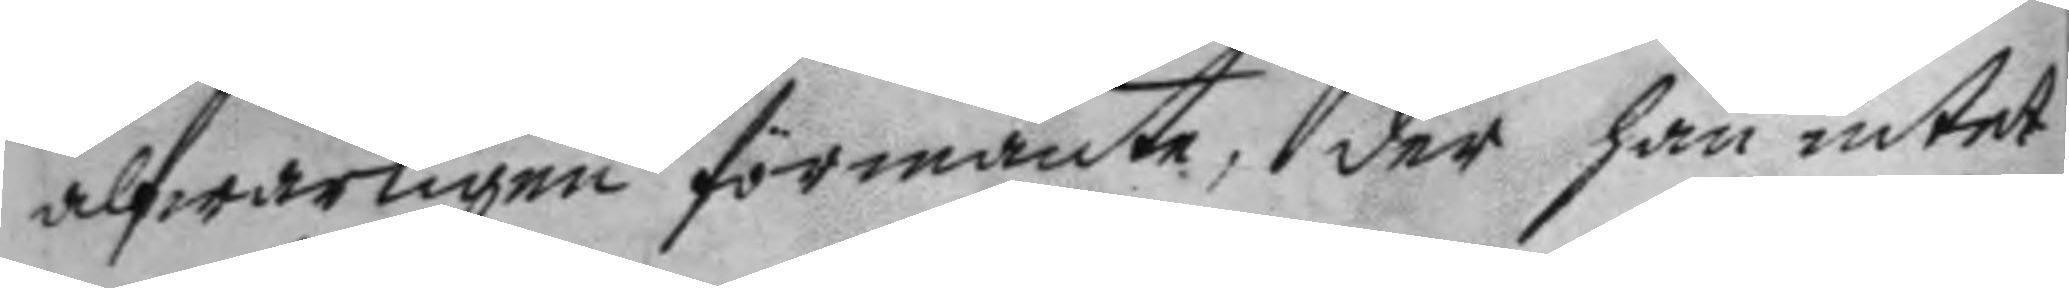alfwarligen förmante, der han intet
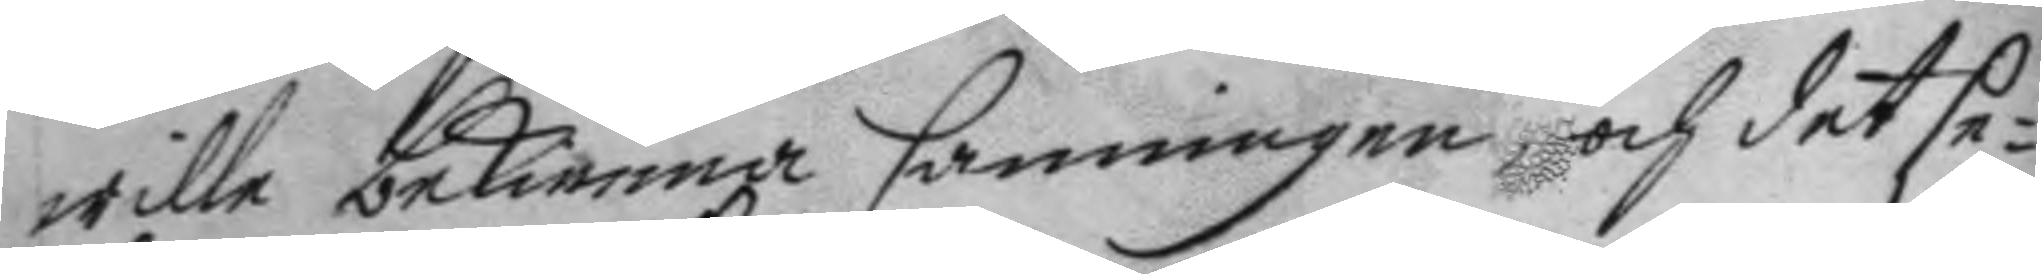wille bekienna sanningen och det se¬
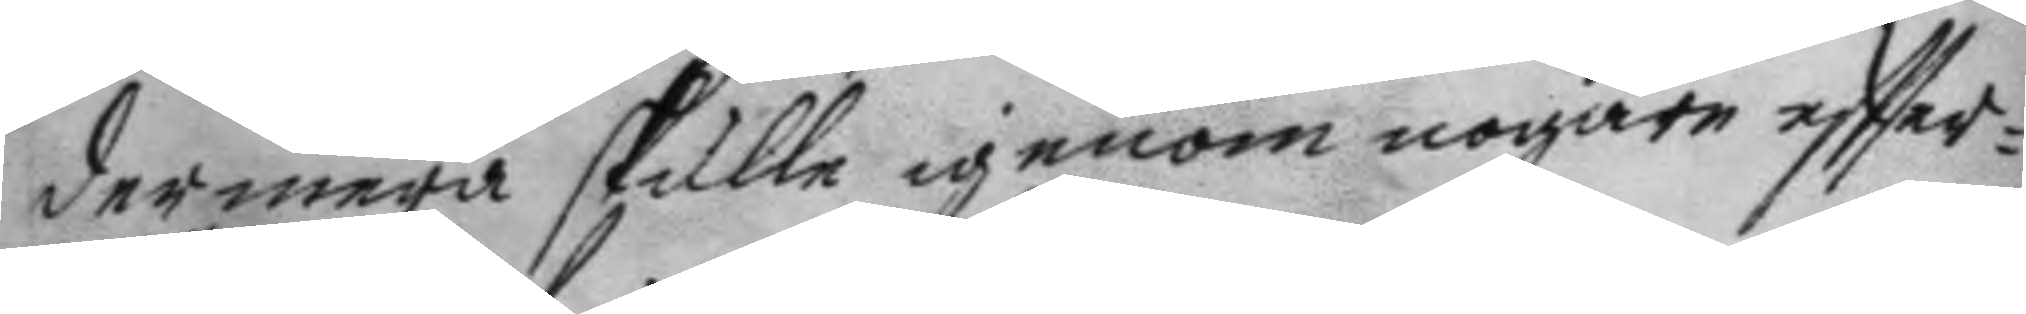dermera skulle igenom  nogare eftter¬
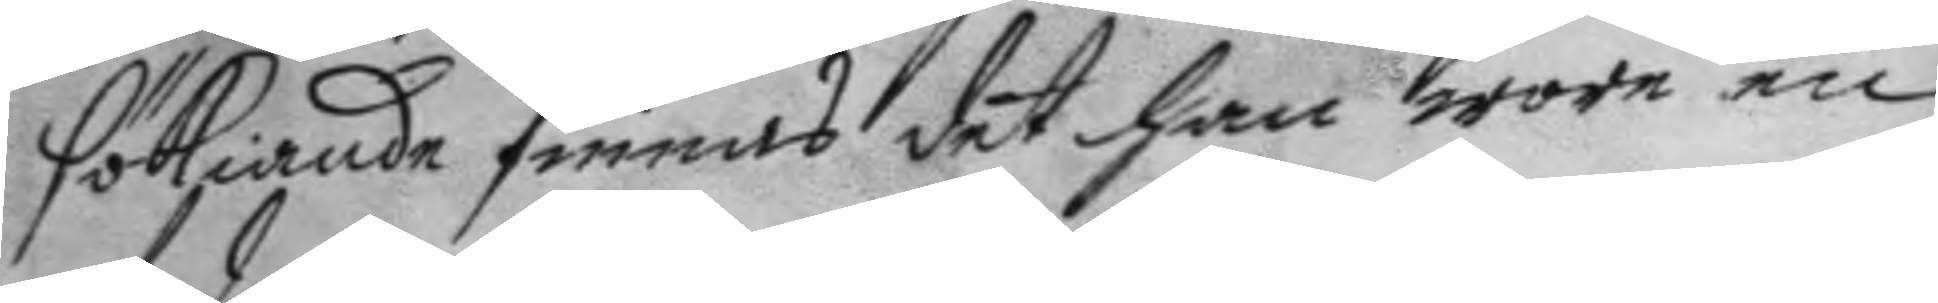sökiande finnas det han wore en
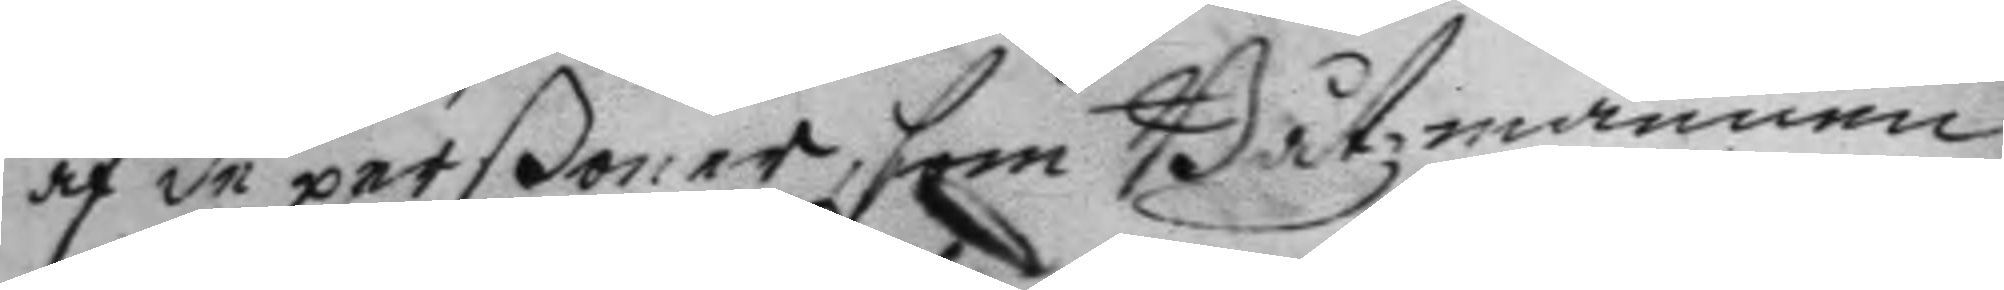af de perßoner, som Båtzmannen
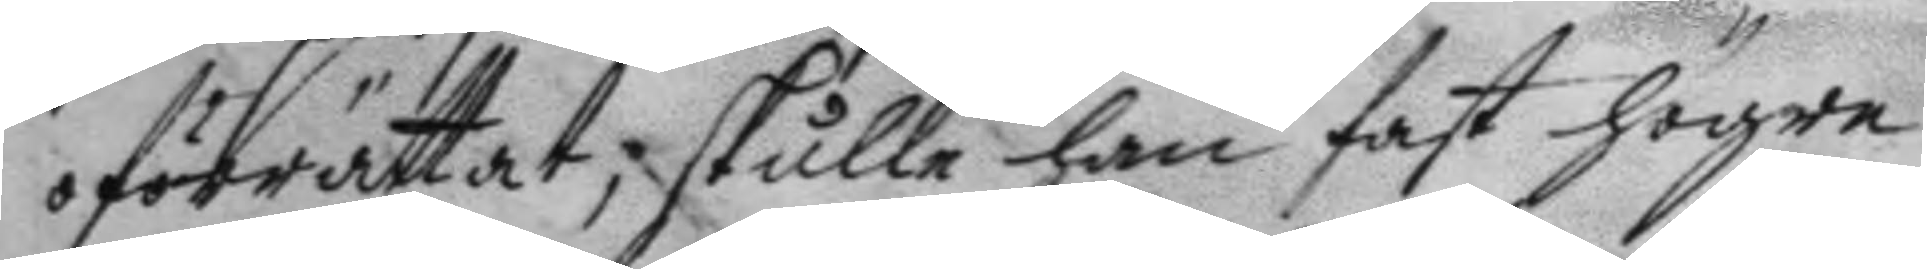oförrättat, skulle han fast högre
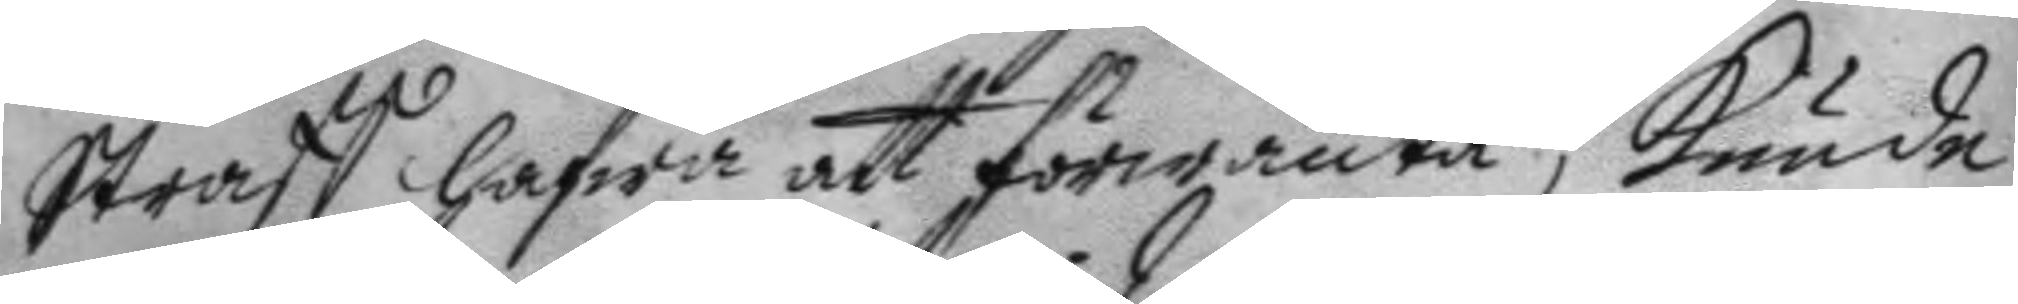Straff hafwa att förwänta, kunde
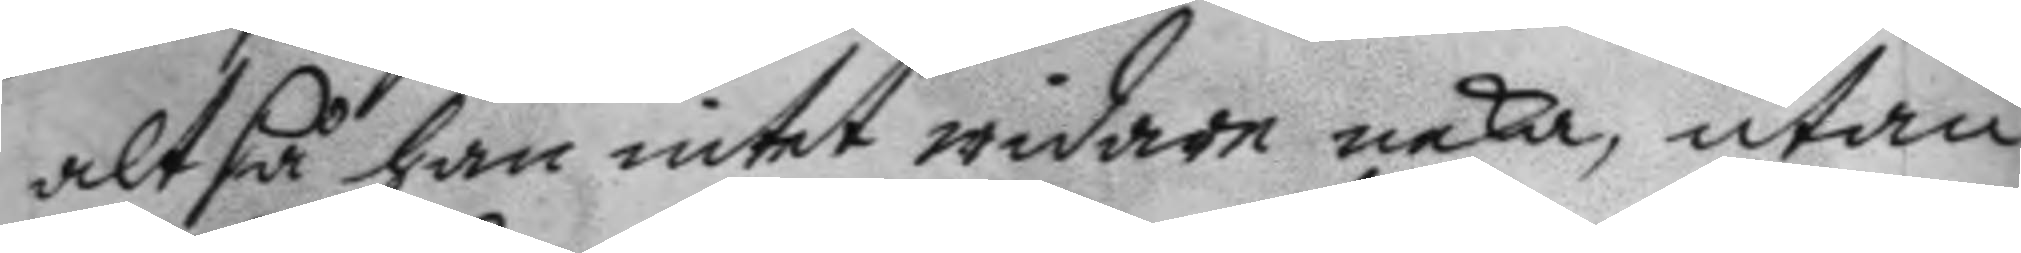altså han intet widare neka, utan
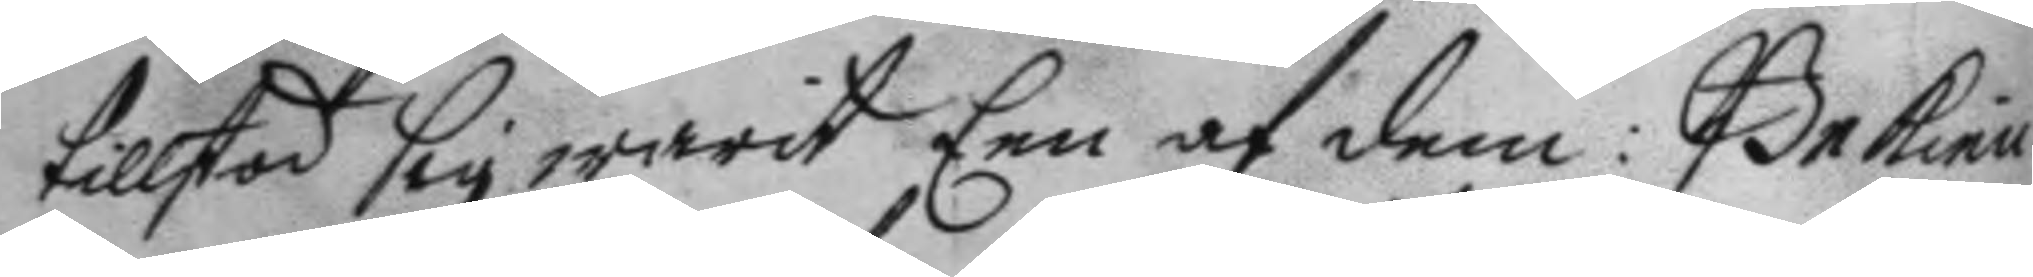tillstod sig warit Een af dem: Bekien¬
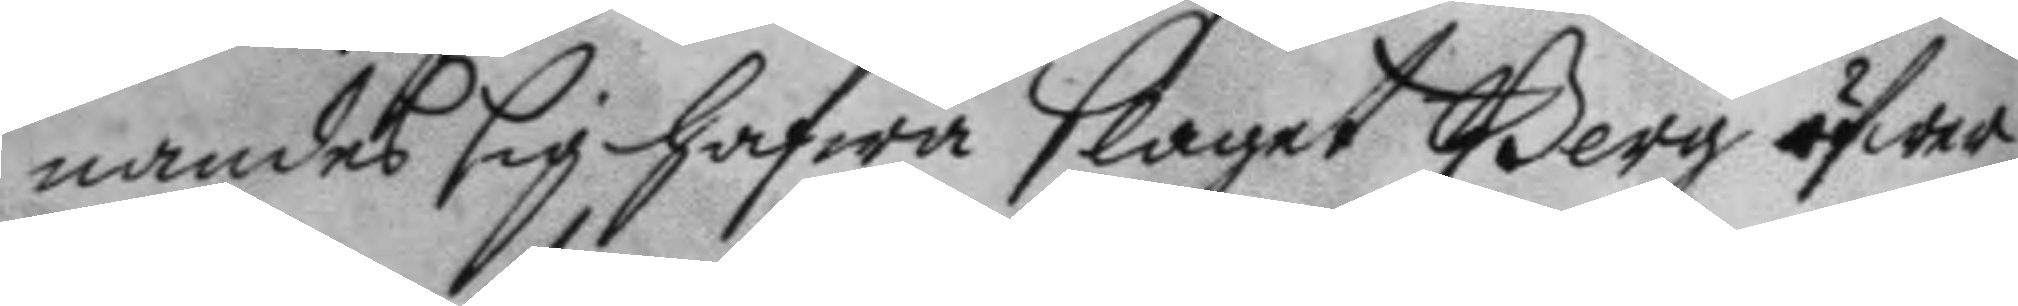nandes sig hafwa slaget Berg öfwer
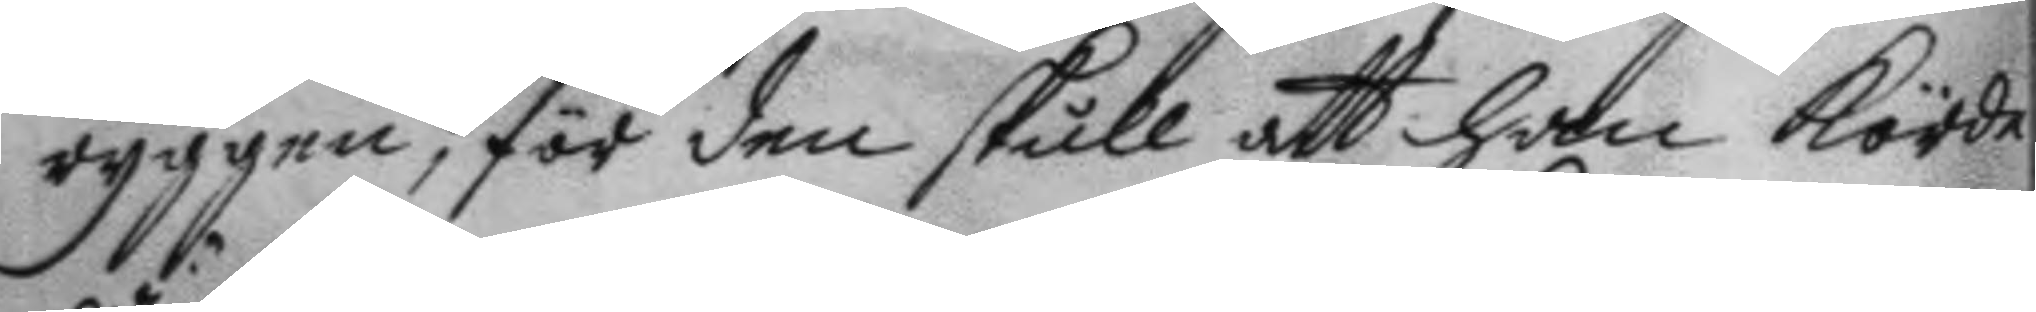ryggen, för den skull att han kiörde
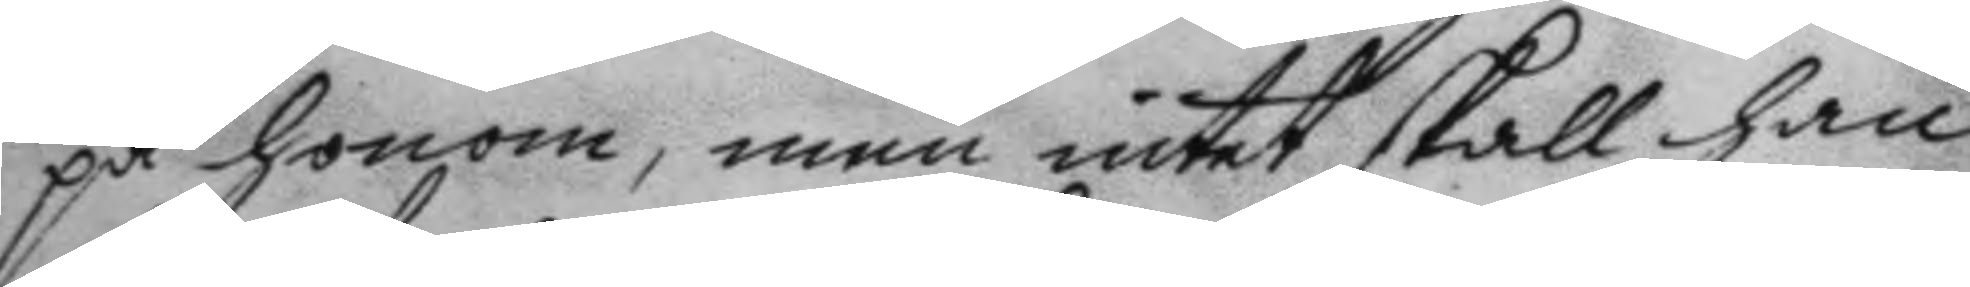på honom, men intet skall han
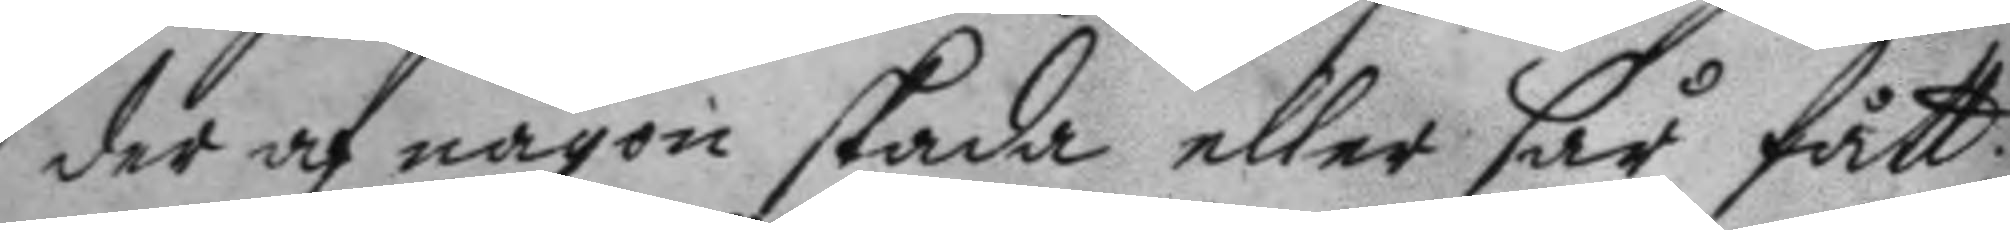der af någon skada eller sår fårr:
